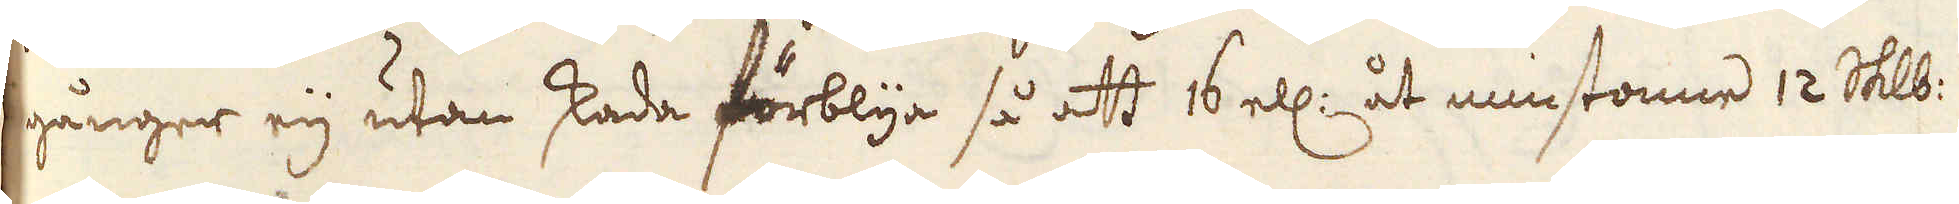gånger eij utan skada förblya så att 16 ell: åt minstonne 12 Skålpund
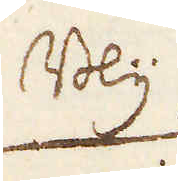Bly
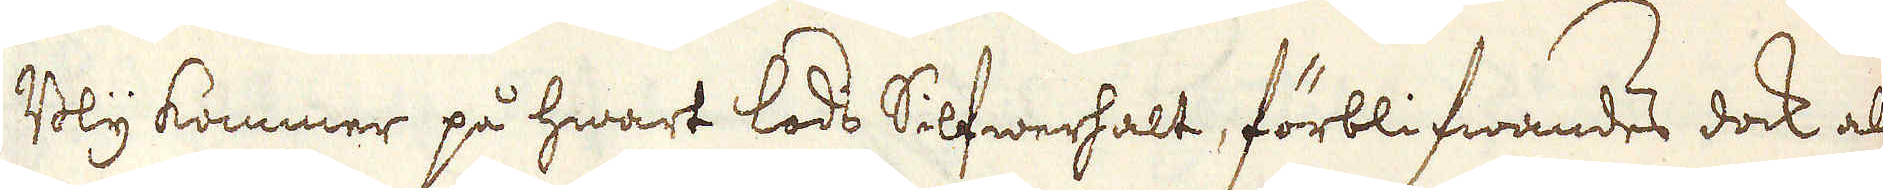Bly kommer på hwart lods Silfwerhalt, förblifwandes dock al
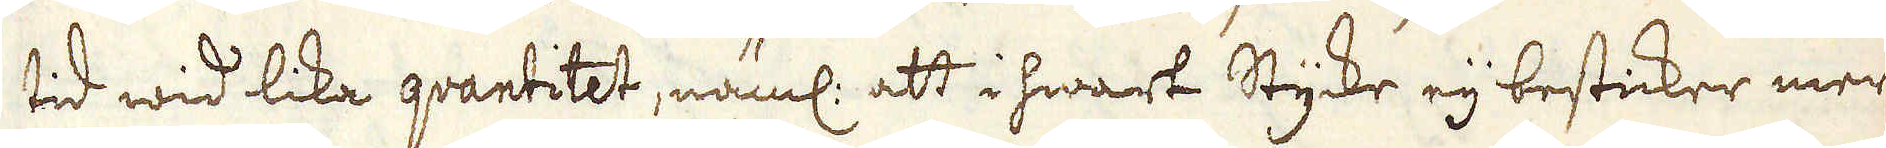tid wid lika qvantitet, näml: att i hwart Stycke eij besticker mer
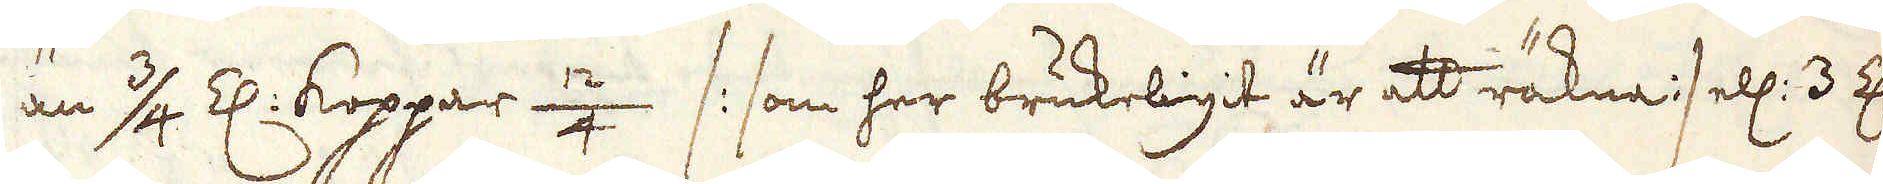än 3/4 Z: Koppar 12/4 /: som her brukeligit är att räkna :/ ell: 3 Z:
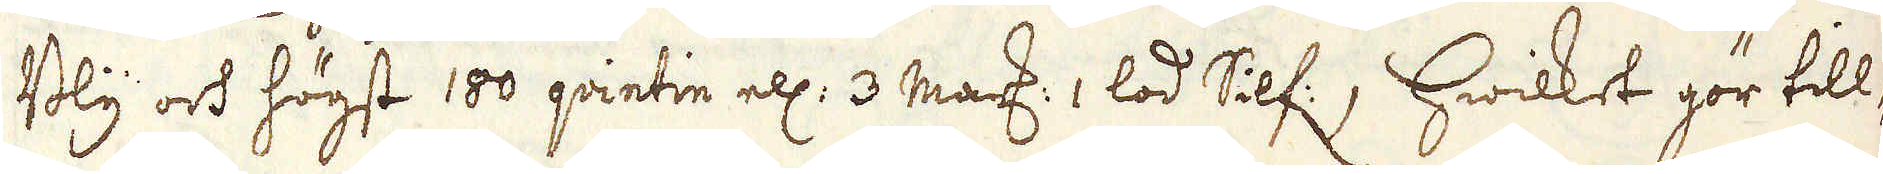Bly och högst 100 qvintin ell: 3 mark: 1 lod Silf:; hwilket gör till-
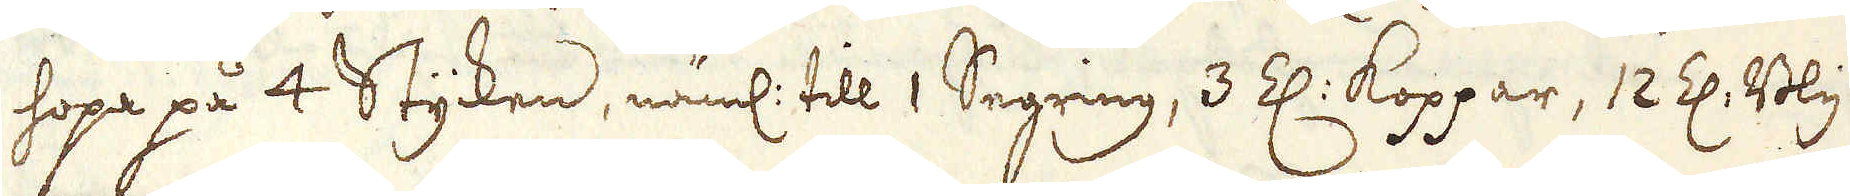hopa på 4 Stycken, näml: till 1 Segring, 3 Z: koppar, 12 Z: Bly
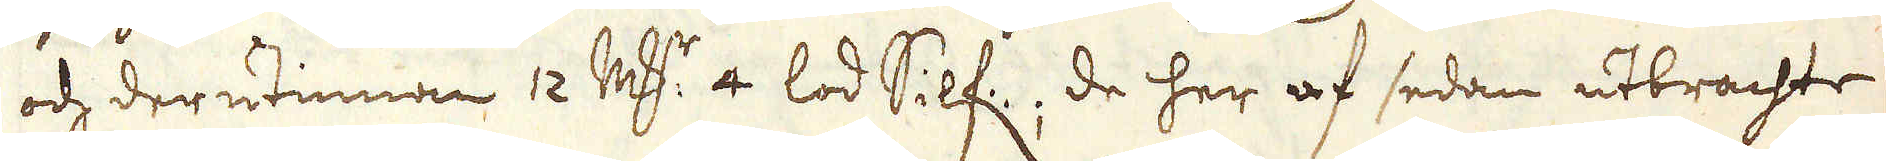och derutinnan 12 marker 4 lod Silf: de her af sedan utbrachte
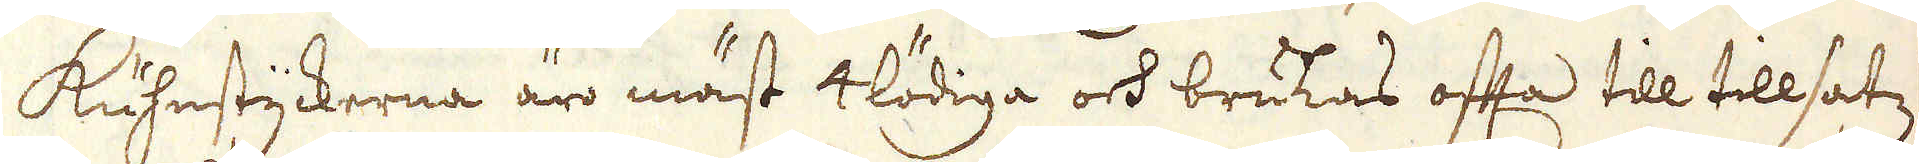Kuhnstyckerna äro mäst 4 lödiga och brukas ofta till tillsatz
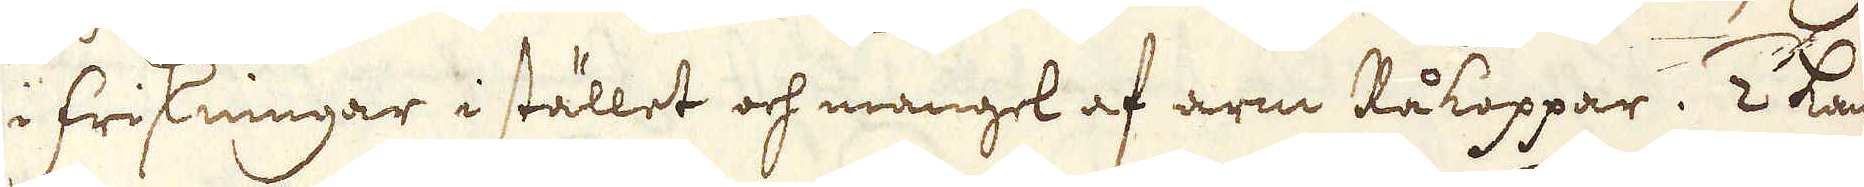i friskningar i stället och mangel af arm Råkoppar. 2 kan
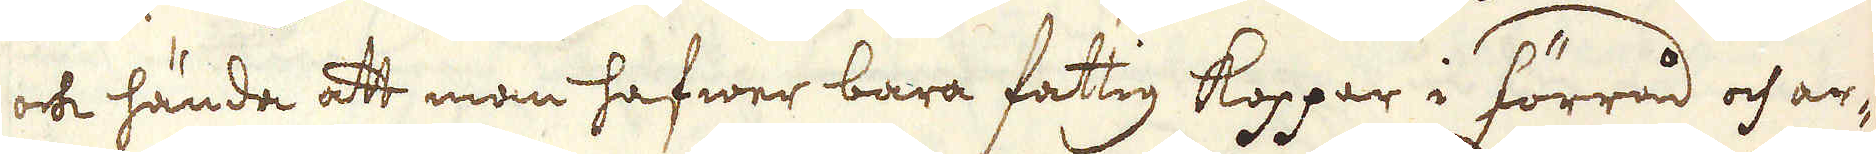och hända att man hafwer bara fattig koppar i förråd och ar-
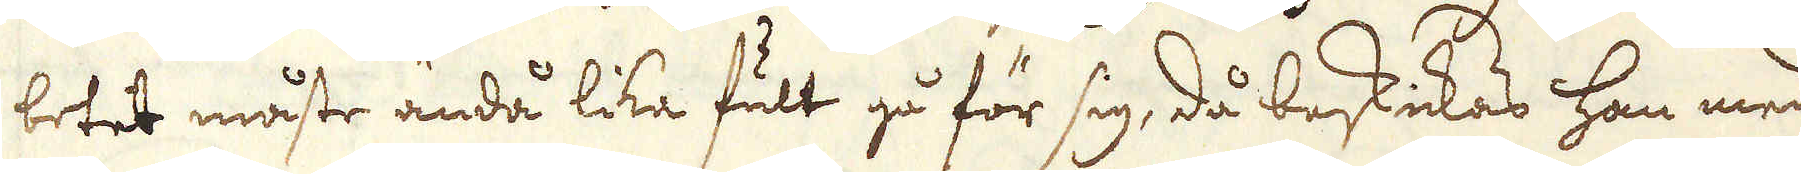betet måste ändå lika fult gå för sig, då beskickas han med
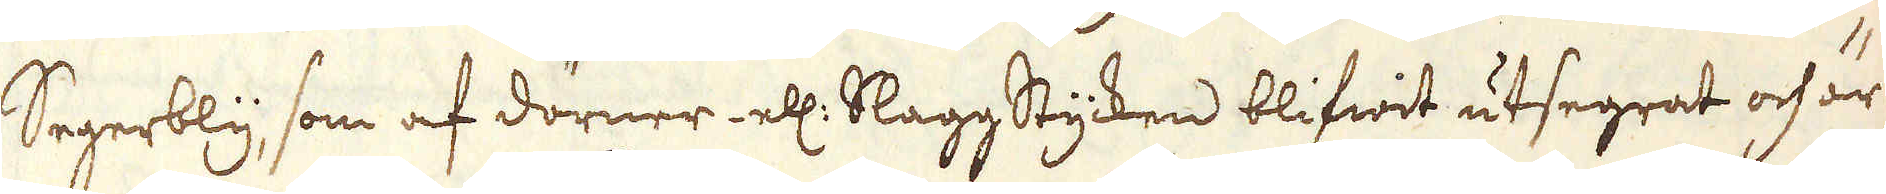Segerbly, som af dörner ell: SlaggStycken blifwit utsegrat och är
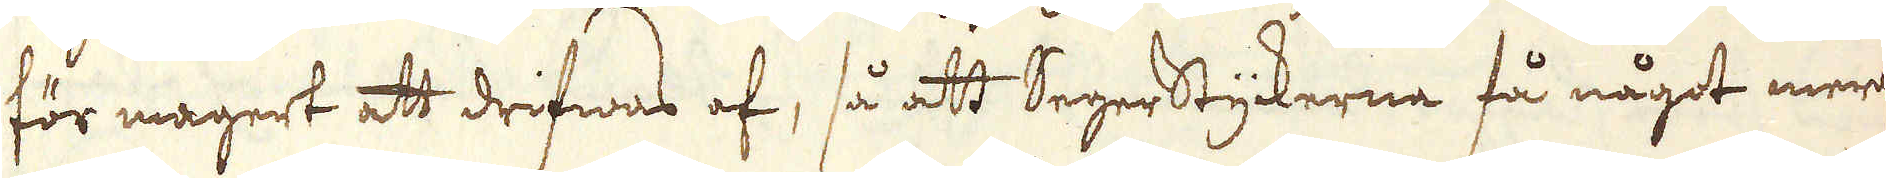för magert att drifwas af, så att Segerstyckerne få något mer
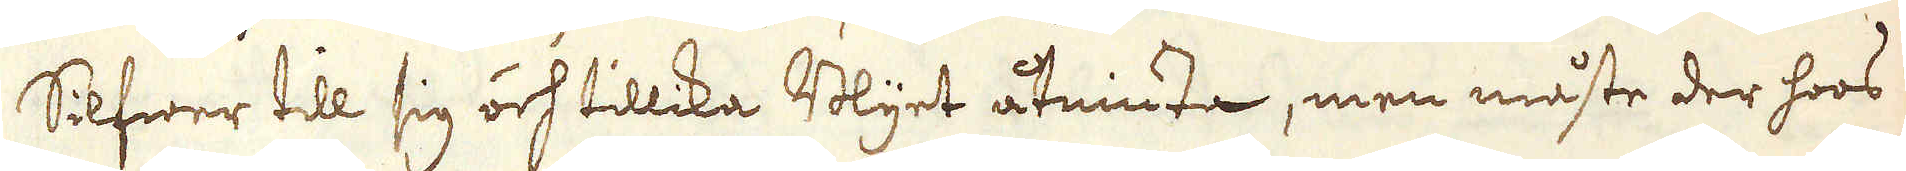Silfwer till sig och tillika Blyet åtniuta, men måste der hoos
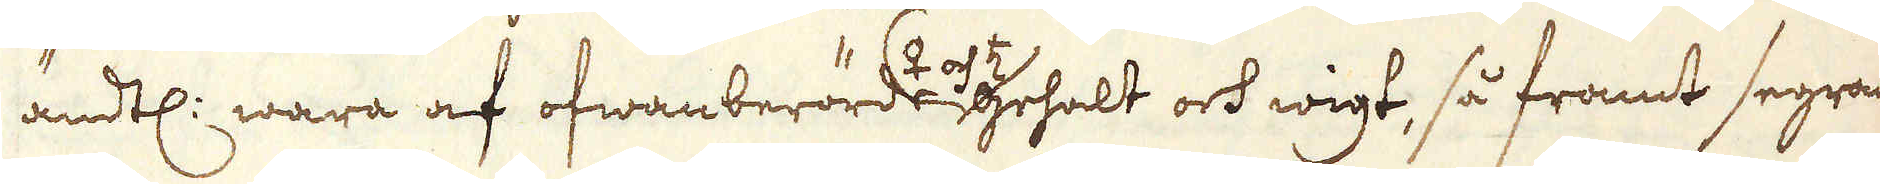ändtl: wara af ofwanberörde gehalt och wigt, så framt segran-
